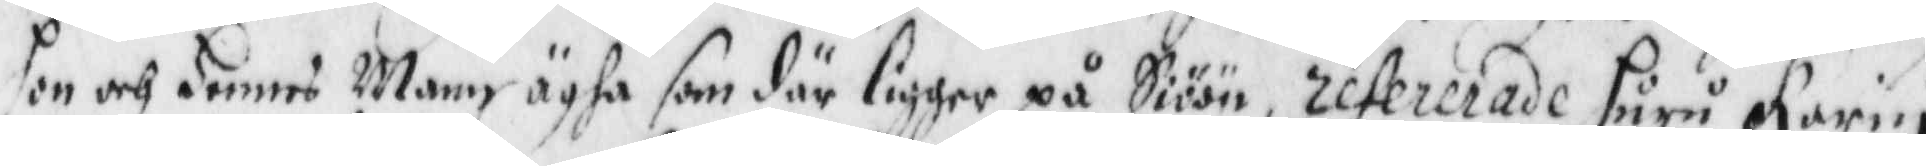hon och Hennes Mann ägha som där ligger på Siöön, refererade huru Karin
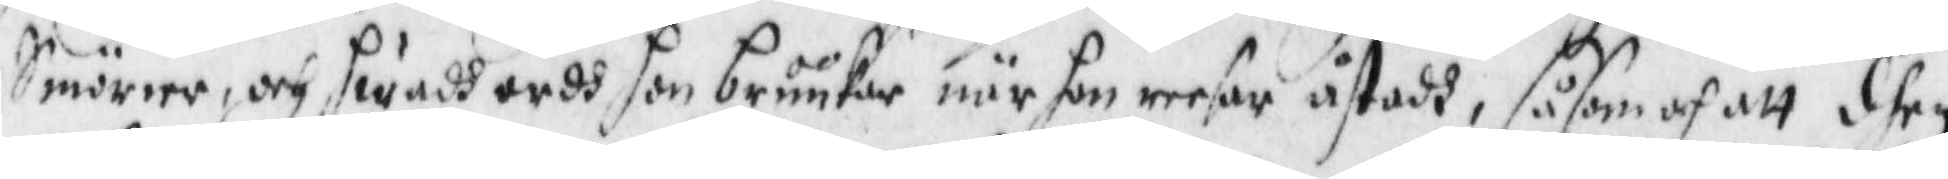Smörier, och hwadh ordh hon bruukar när hon reeser åstadh, såsom och att dhen
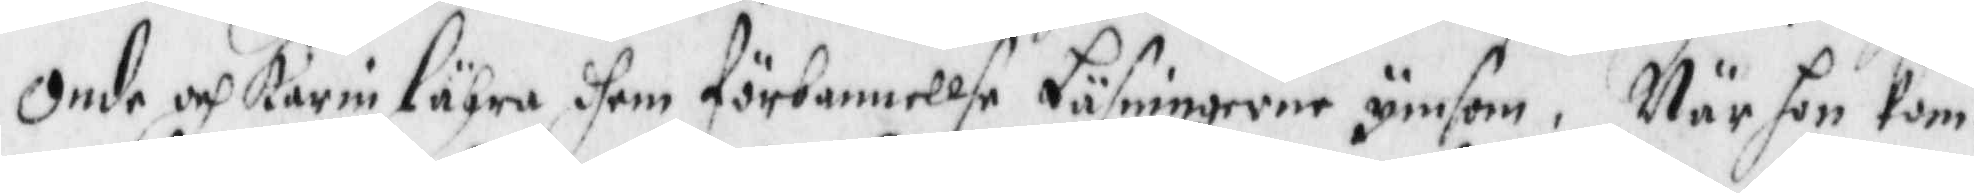Onde och karin Lähra dhem förbannellse Läsningerne ymsom, När hon kom¬
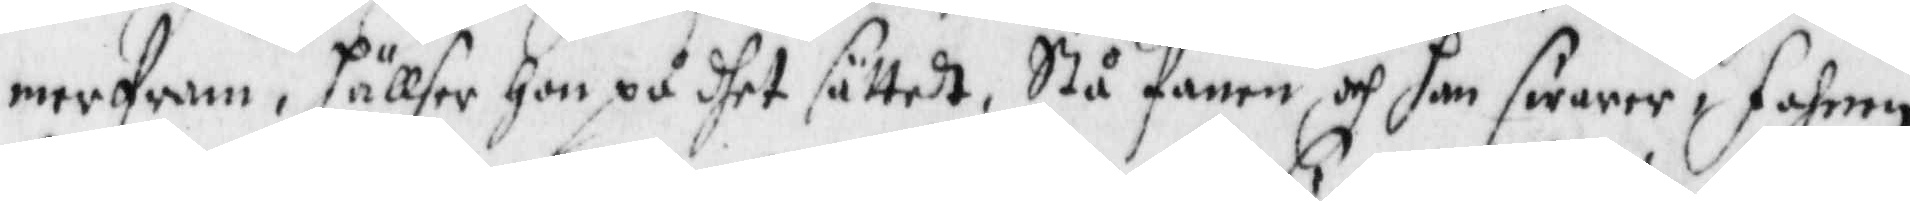mer fram, häller hon på dhet sättet, Stå fanen och han swarar, fahnen
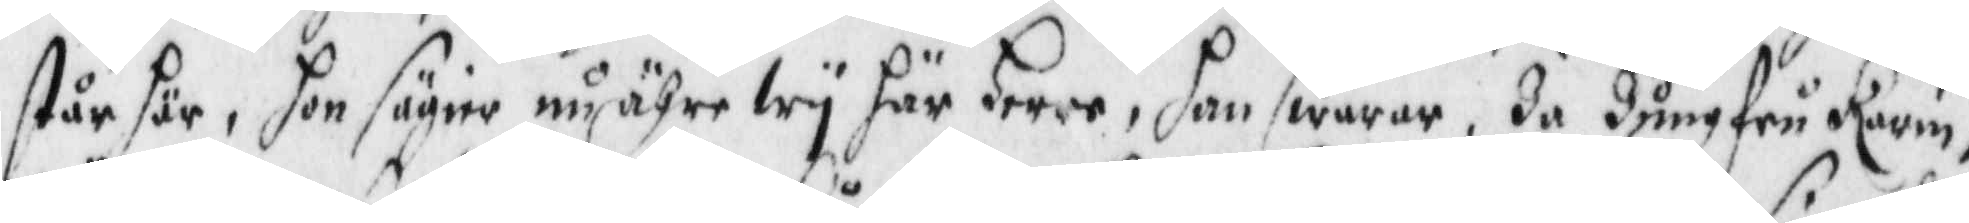står här, hon säger nu ähre wy här Herre, han swarar, Ja Jungfru Karin,
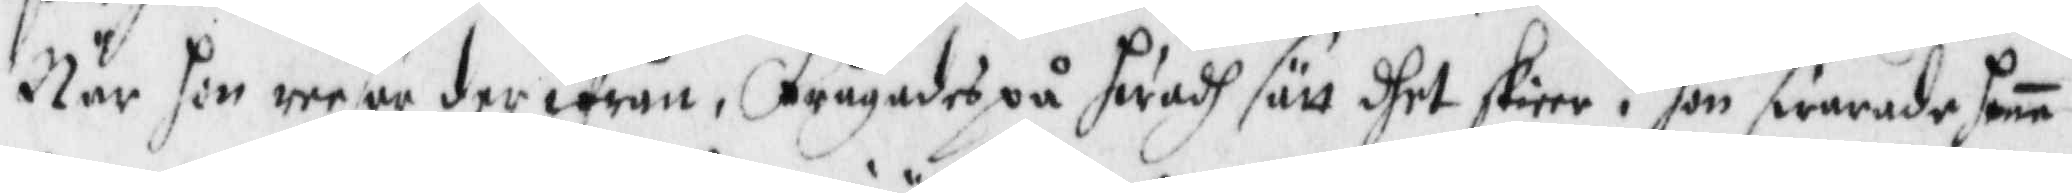När hon reeser derifrån, Frågades på hwadh sätt dhet skieer? hon swarade henne
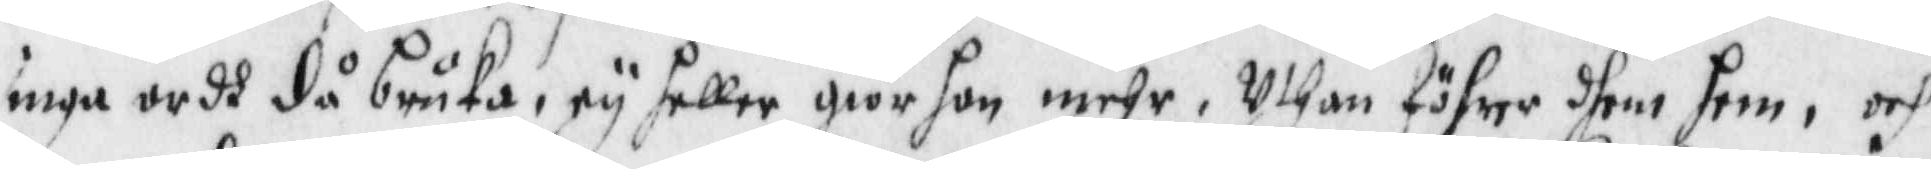inga ordh då bruka, ey heller giör hon mehr, Uthan föhrer dhem hem, och
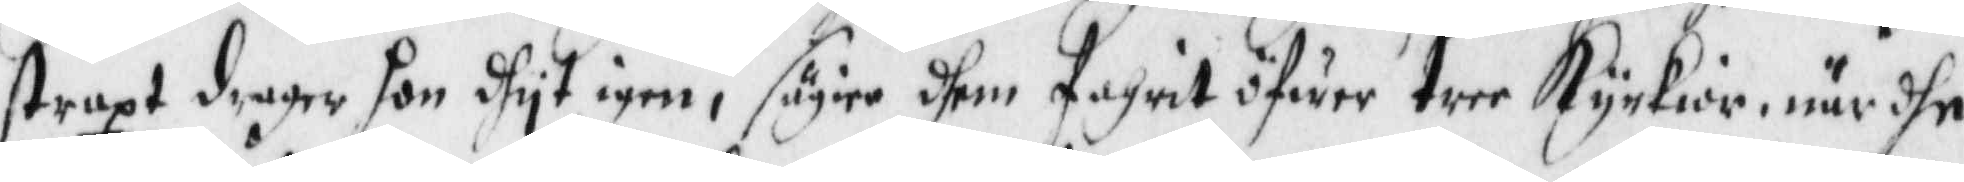straxt drager hon dhyt igen, säyer dhem fahrit öfwer tree Kyrkior, när dhe
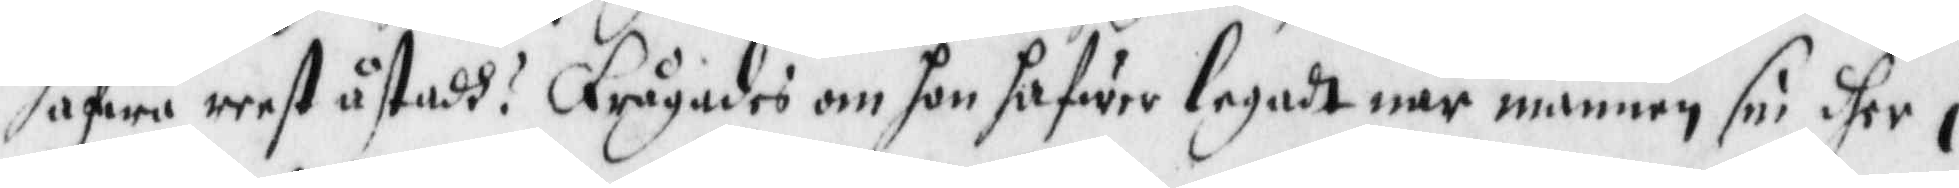hafwa reest åstadh? frågades om hon hafwer legadt när mannen sin dher i
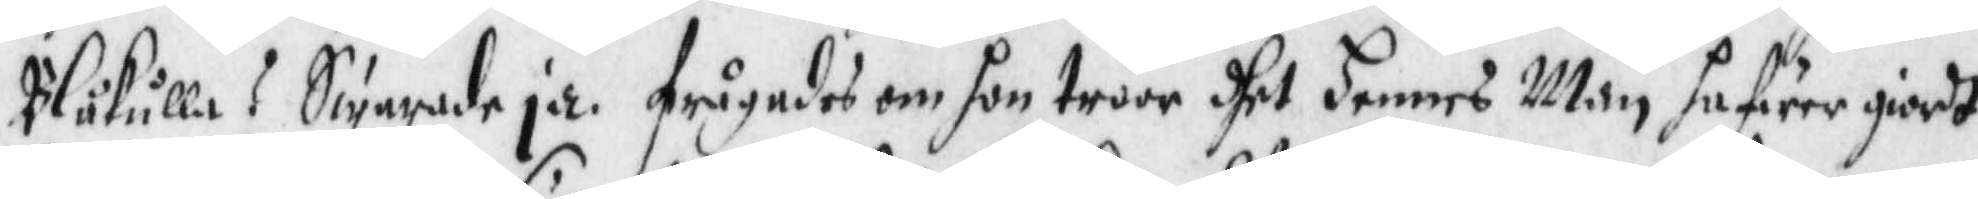Blåkulla? Swarade ja, frågades om hon troor dhet hennes Man hafwer giordt
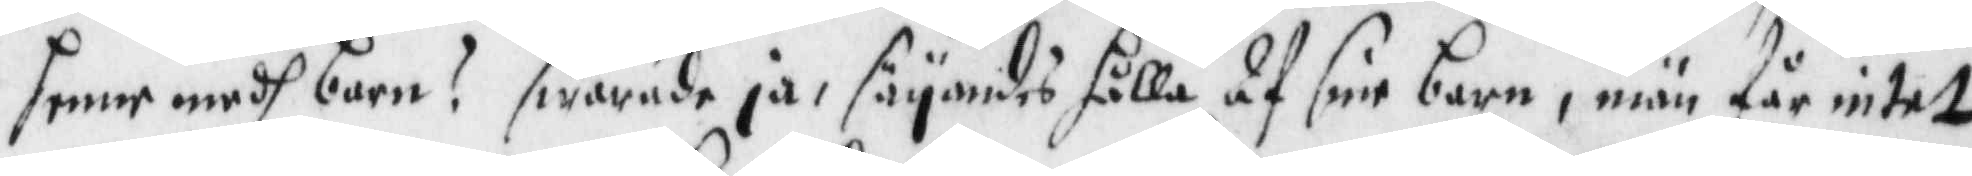henne medh barn? swarade ja, säyandes hålla af sine barn, män får intet
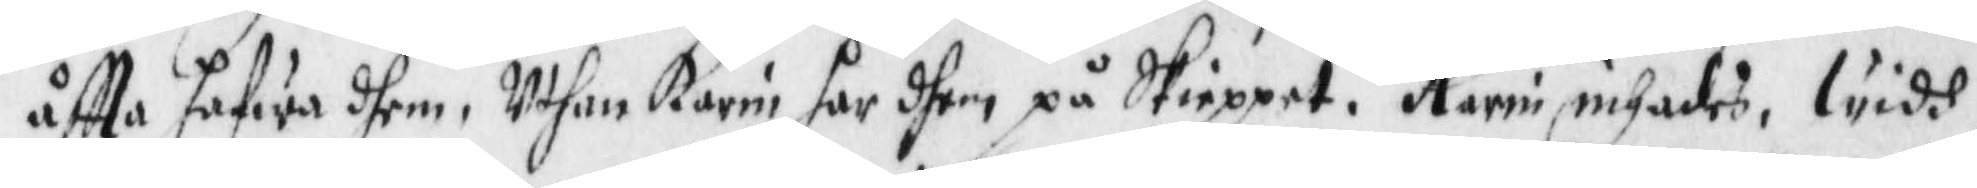åftta hafwa dhem, Uthan Karin har dhem på Skieppet. Karin inhades, widh
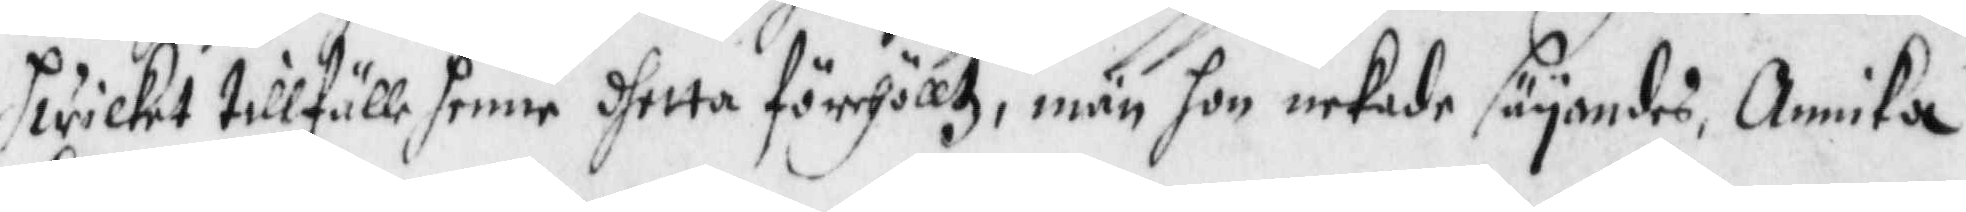hwilket tillfälle henne dhetta förehölltz, män hon nekade säyandes, Annika
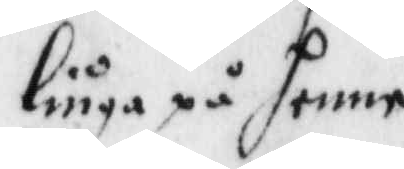liuga på henne.
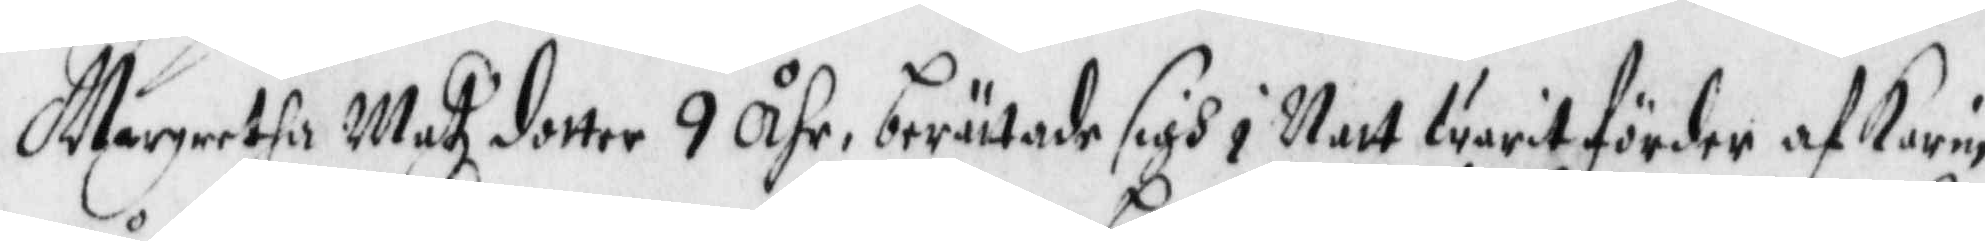Margretha Matz dotter 9 Åhr, berättade sigh i Natt warit förder af Karin
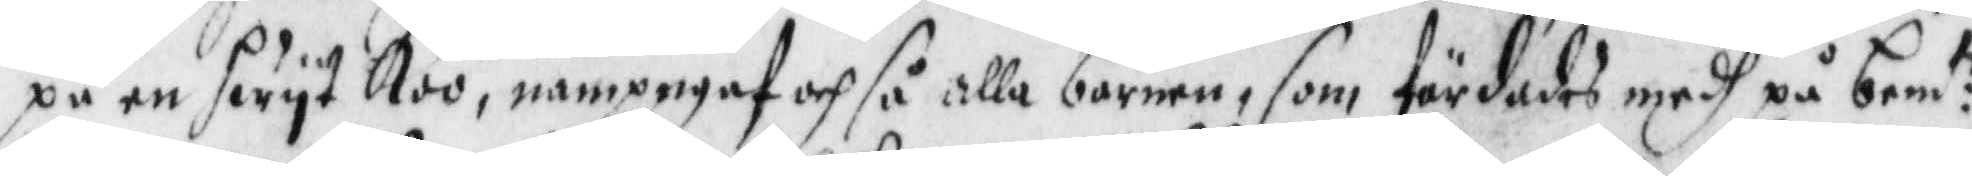på en hwyt Koo, nampngaf och så alla barnen, som färdades medh på bem:te
